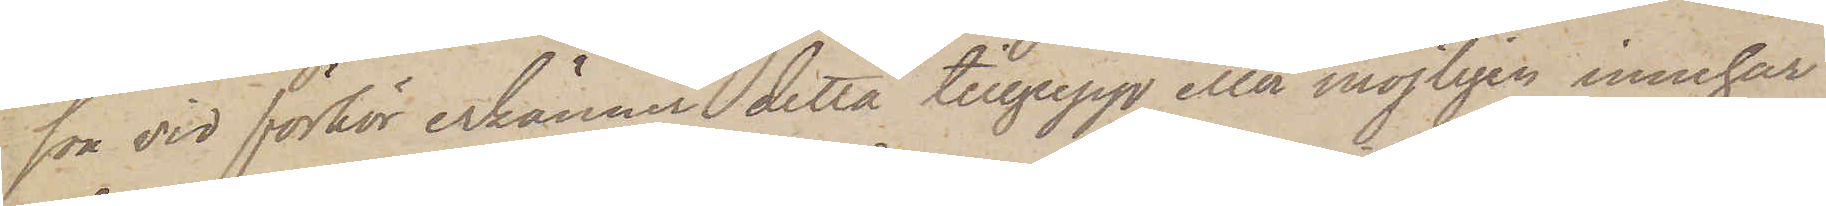son vid förhör erkänner detta tillgrepp eller möjligen innehar
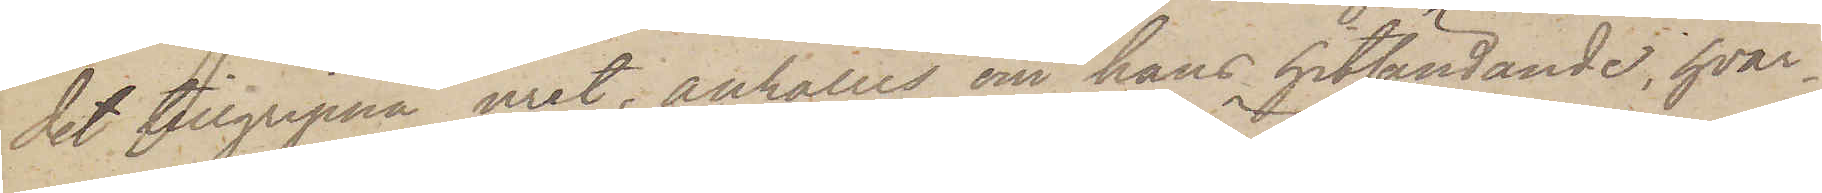det tillgripna uret, anhålles om hans hitsändande, hvar¬
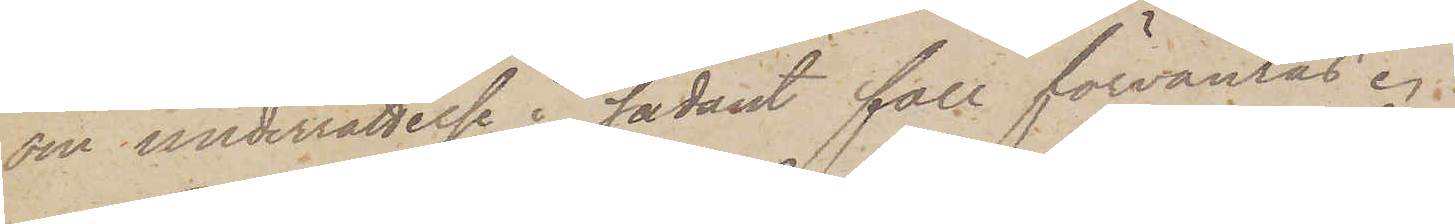om underrättelse i sådant fall förväntas.
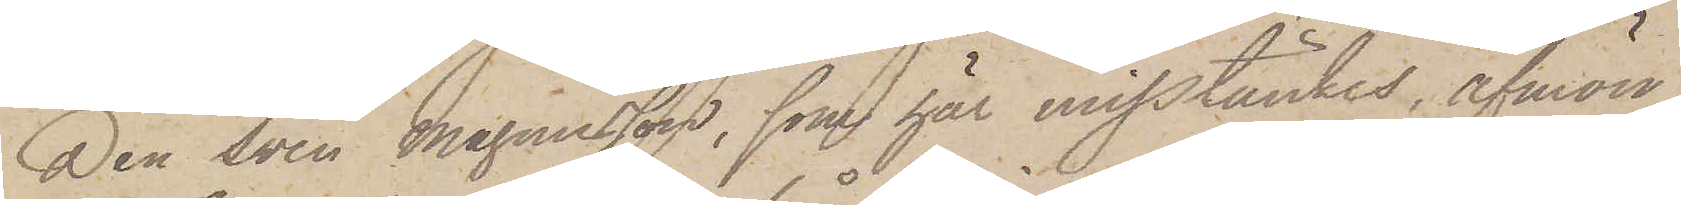Den Sven Magnusson, som här misstänkes, afmön¬
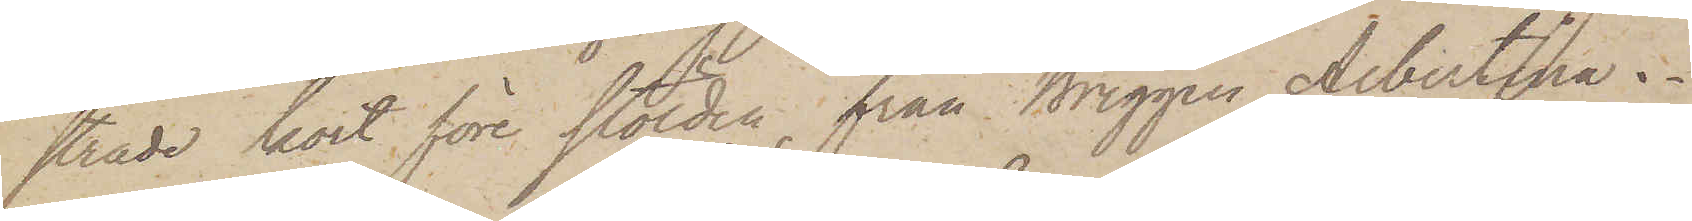strade kort före stölden från Briggen Albertina.
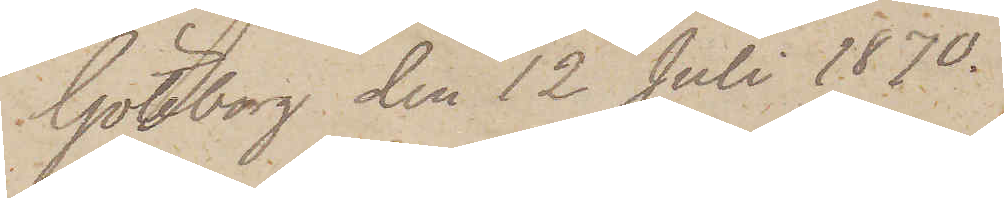Göteborg den 12 Juli 1870.
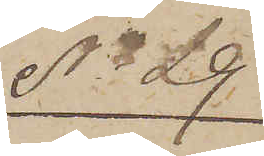No 29
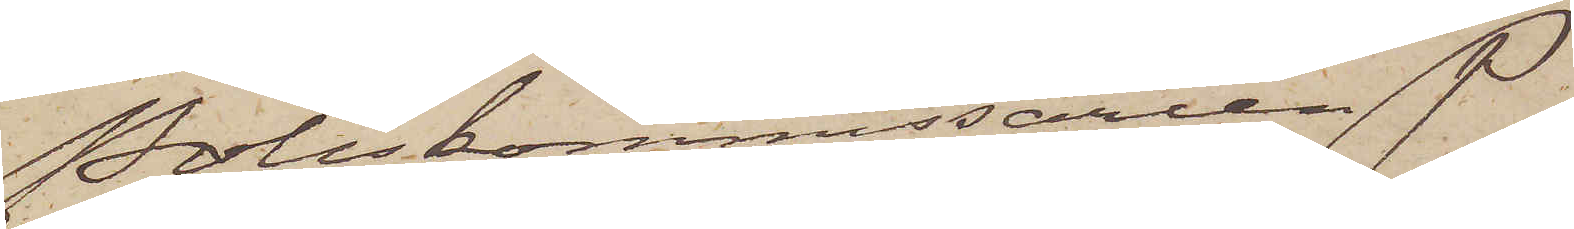Poliskommissaren P
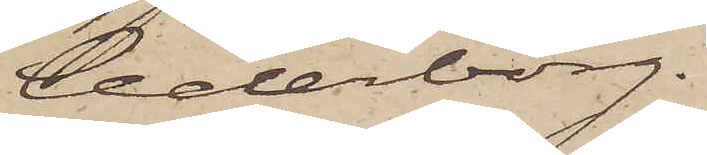Cederborg.
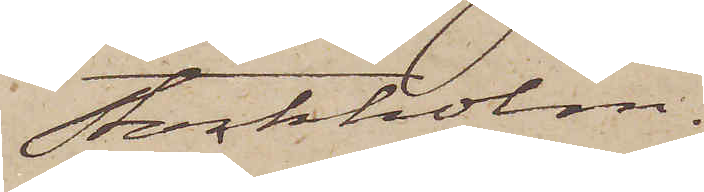Stockholm.
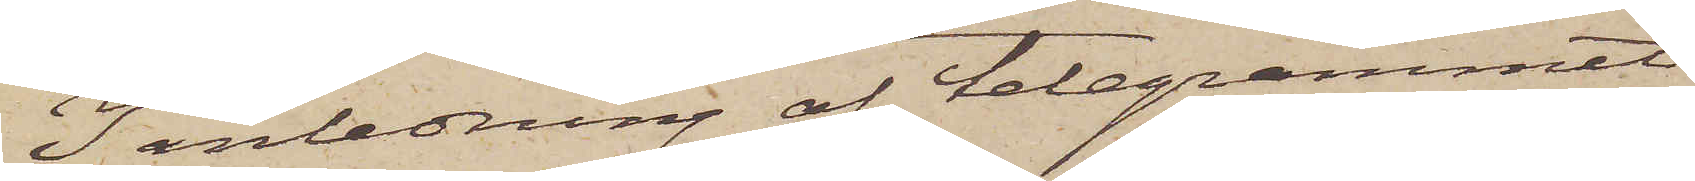I anledning af telegrammet
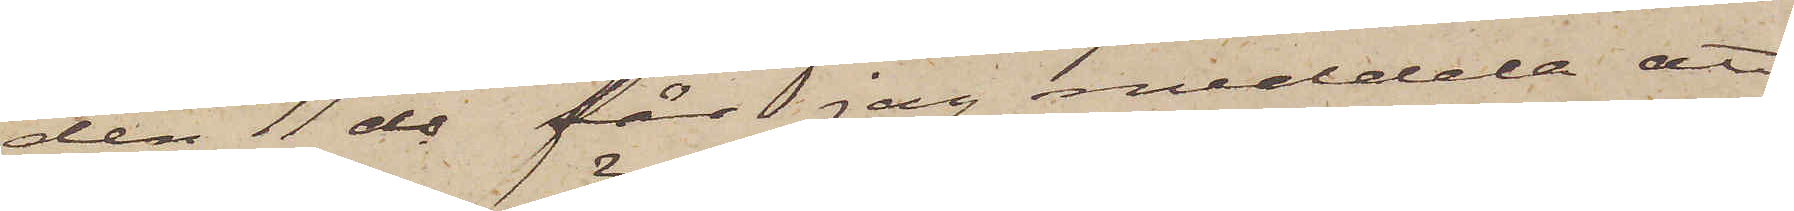den 11 ds får jag meddela att
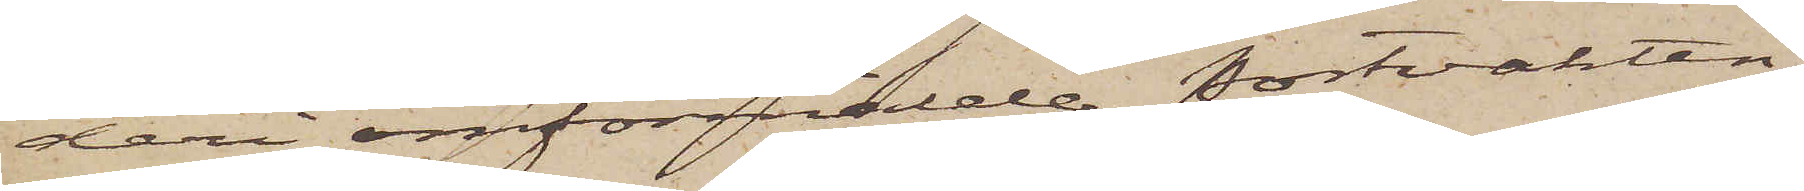deri omförmälde Portvakten
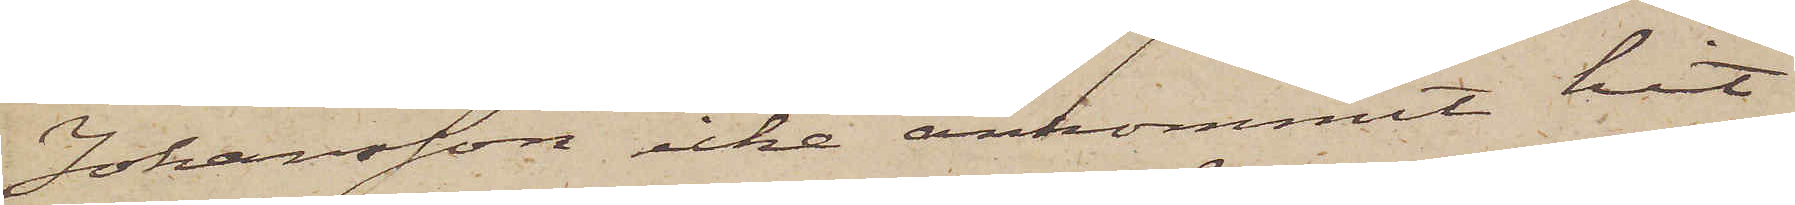Johansson icke ankommit hit
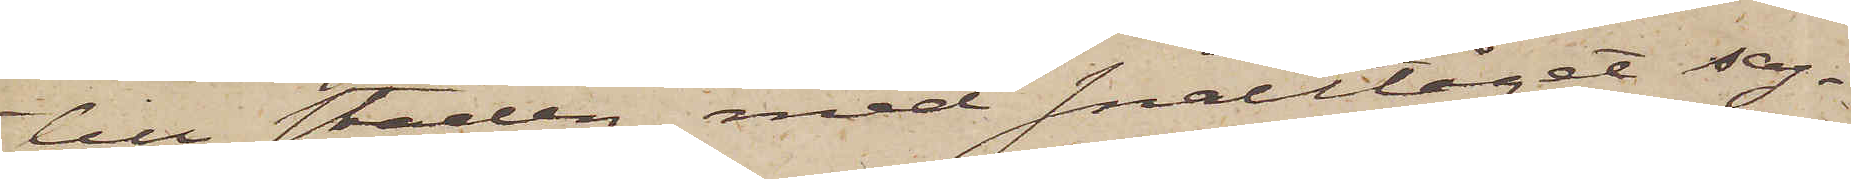till staden med snälltåget sag¬
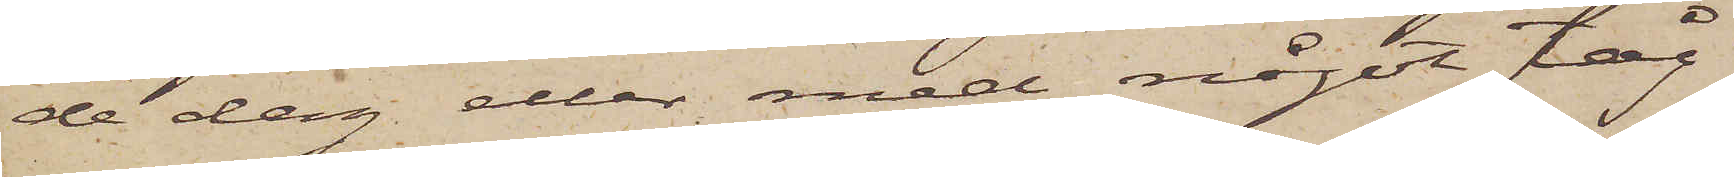de dag eller med något tåg
